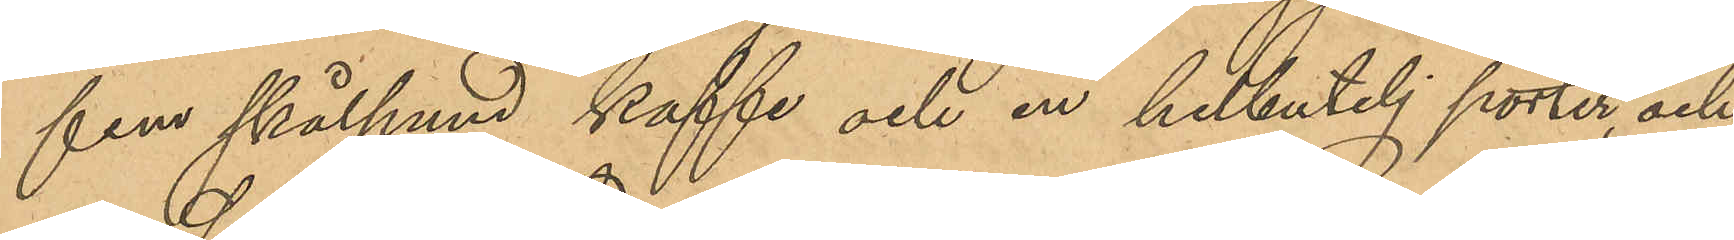fem skålpund kaffe och en helbutelj porter, och
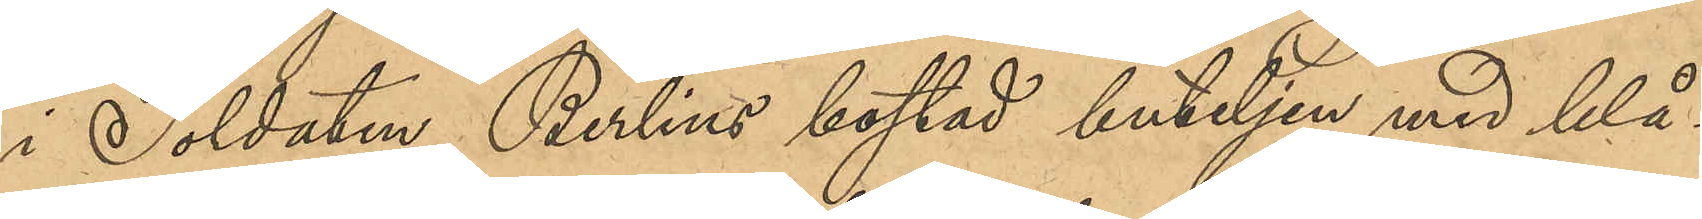i Soldaten Berlins bostad buteljen med blå¬
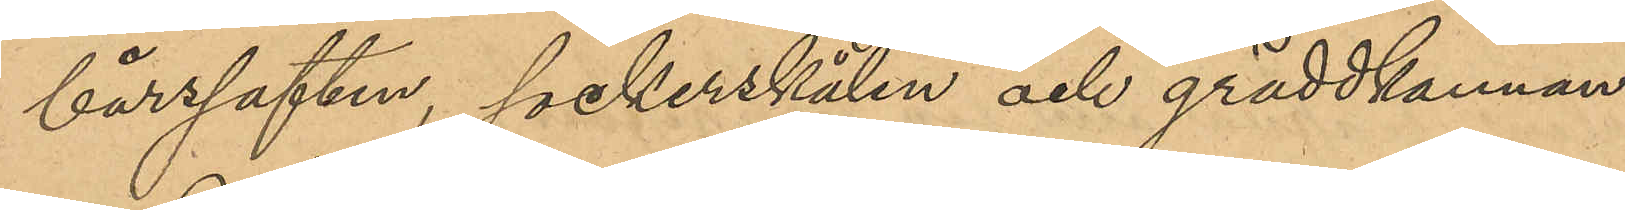bärssaften, sockerskålen och gräddkannan.
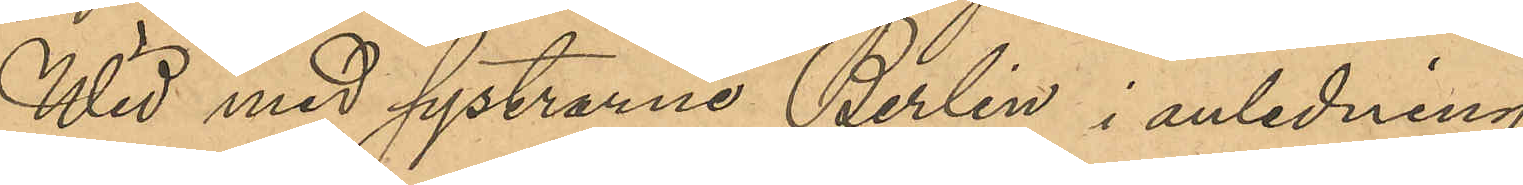Wid med systrarna Berlin i anledning
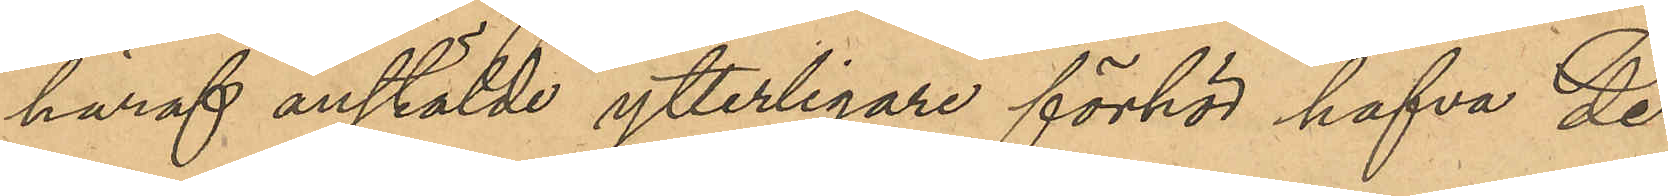häraf anstälde ytterligare förhör hafva de
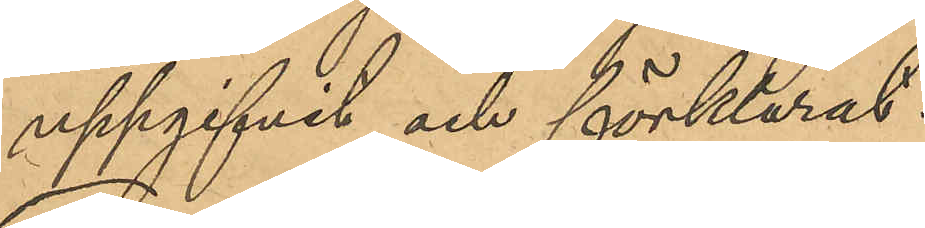uppgifvit och förklarat:
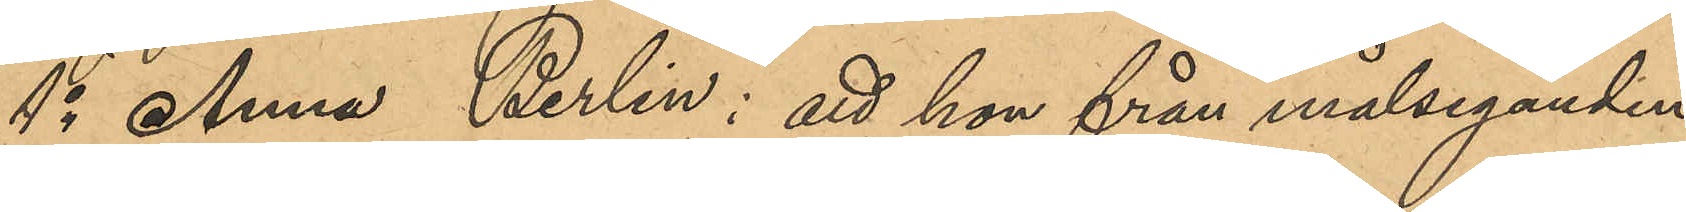1o Anna Berlin: att hon från målseganden
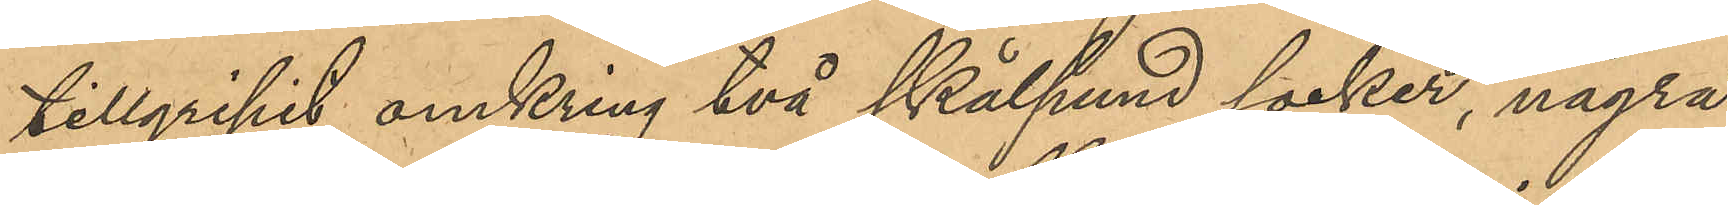tillgripit omkring två skålpund socker, några
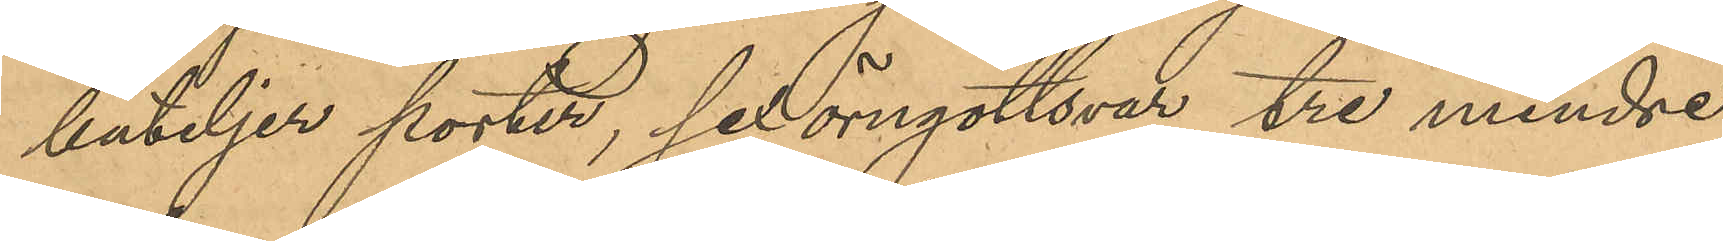buteljer porter, sex örngottsvar, tre mindre
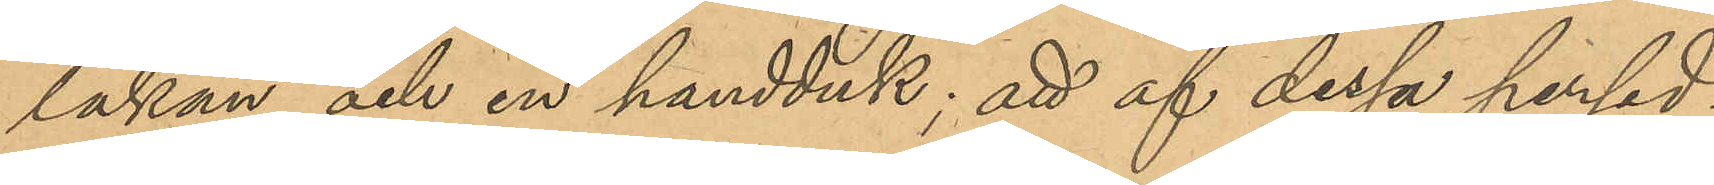lakan och en handduk; att af dessa persed¬
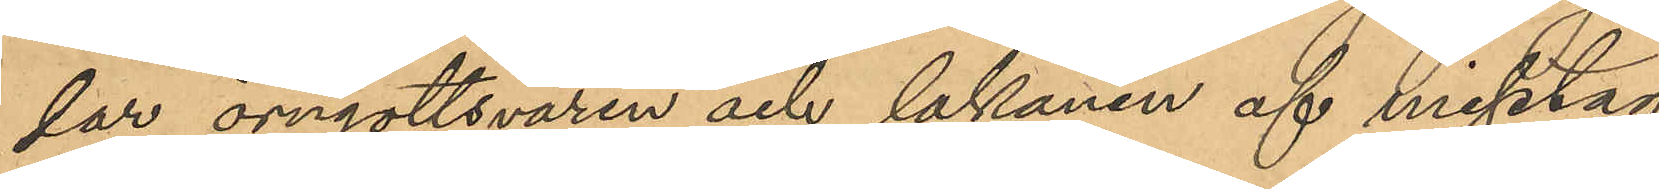lar örngottsvaren och lakanen af misstag
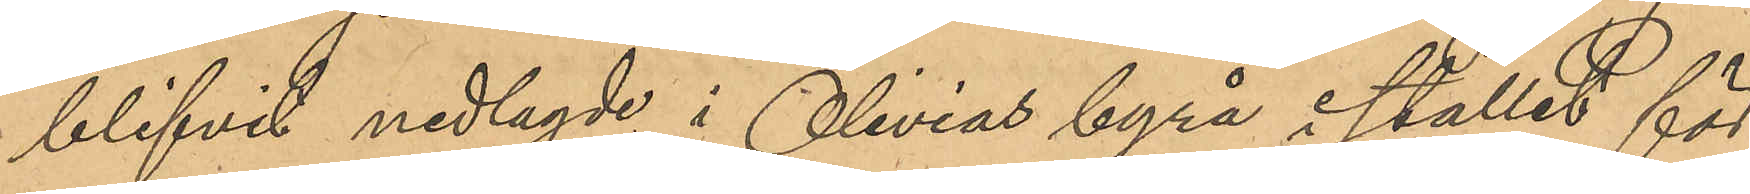blifvit nedlagda i Olivias byrå istället för
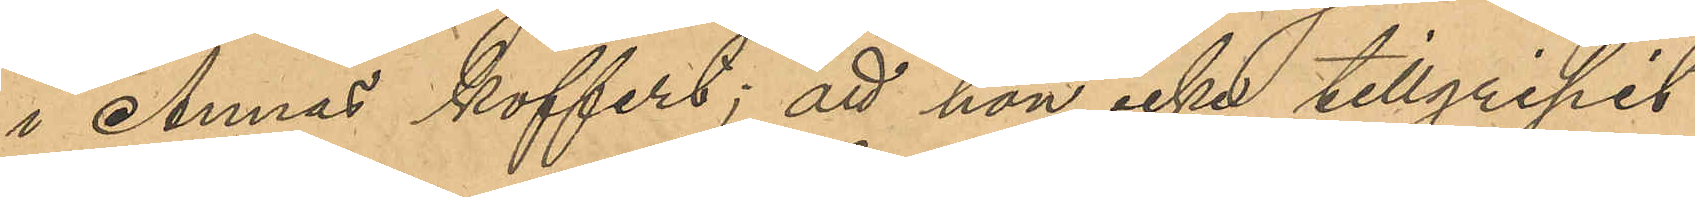i Annas koffert; att hon icke tillgripit
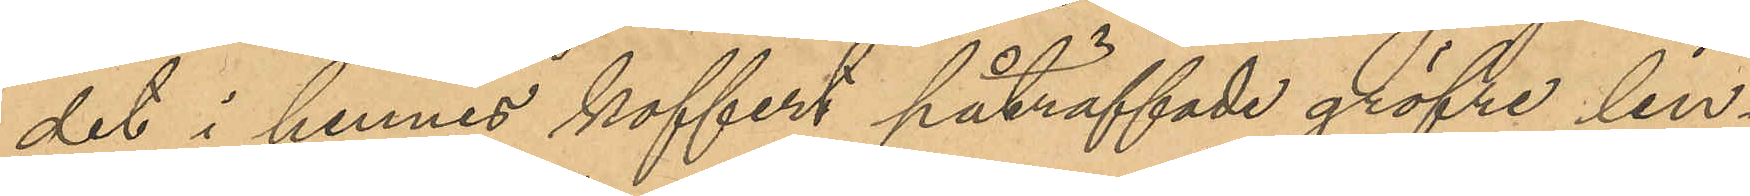det i hennes koffert påträffade gröfre lin¬
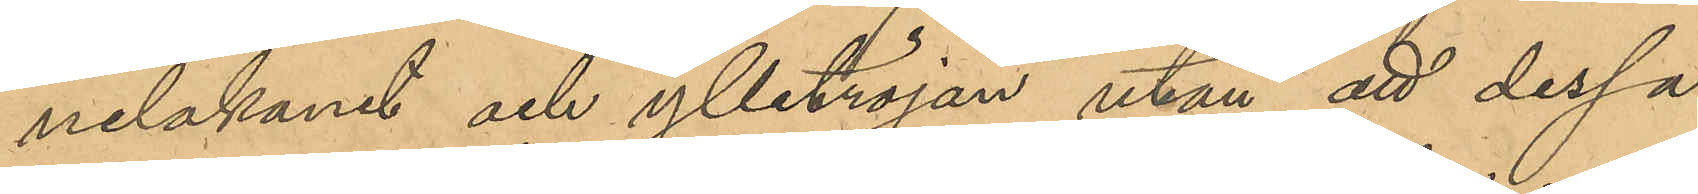nelakanet och ylletröjan utan att dessa
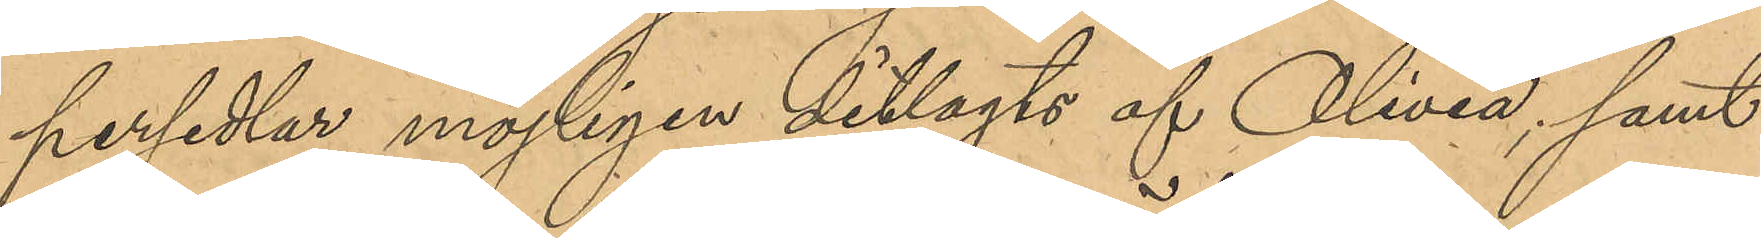persedlar möjligen ditlagts af Olivia; samt
